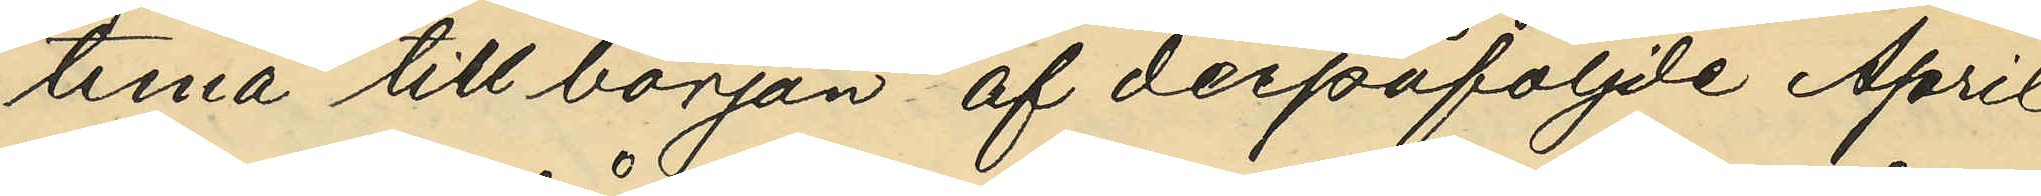tuna till början af derpåföljde April
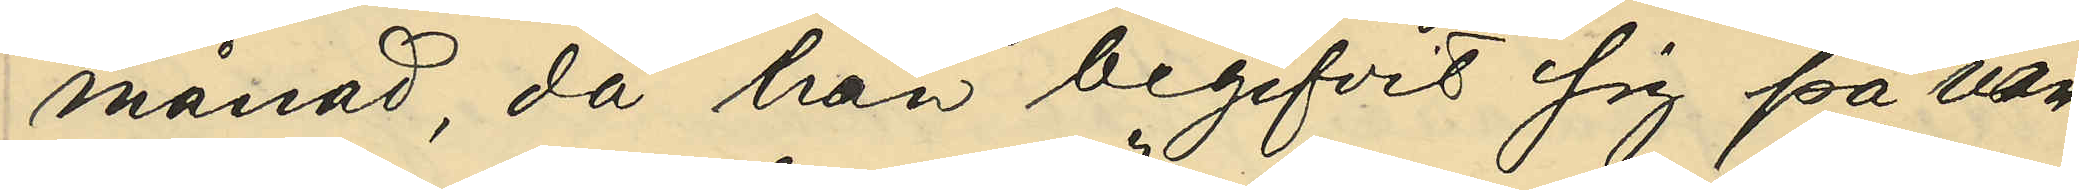månad då han begifvit sig på van¬
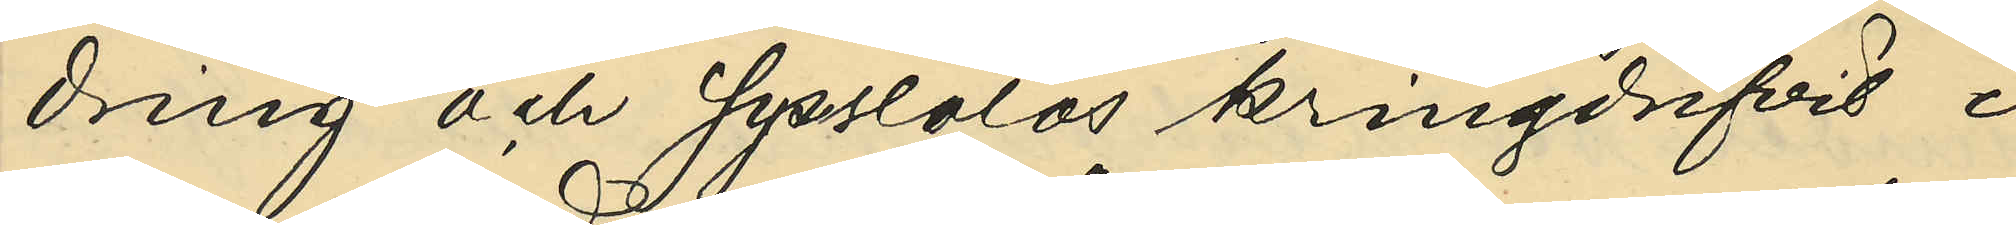dring och sysslolös kringdrifvit i
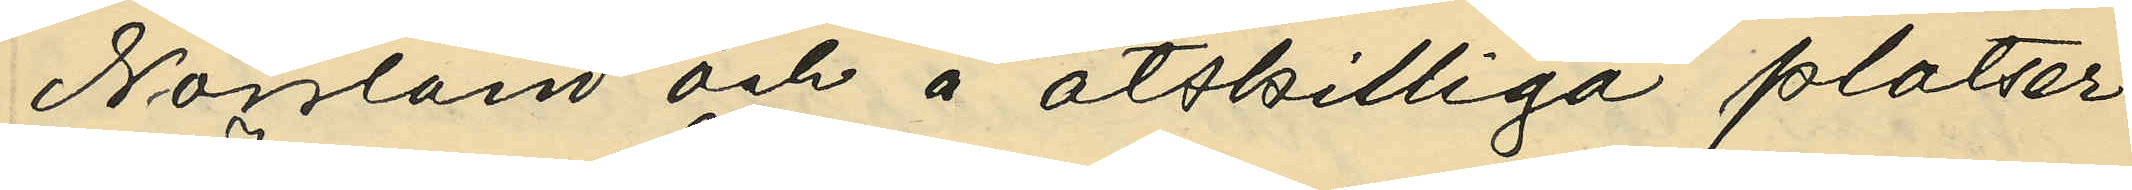Norrland och å åtskilliga platser
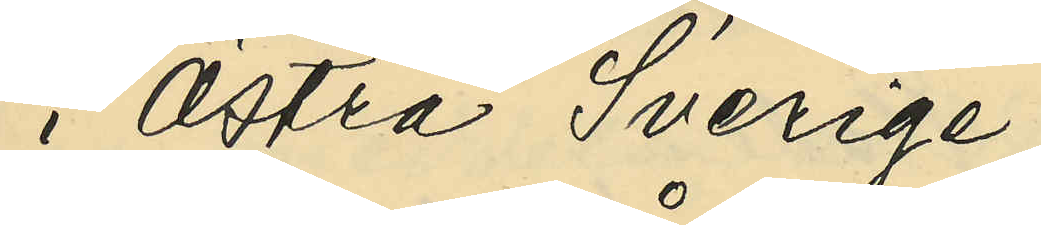i Östra Sverige;
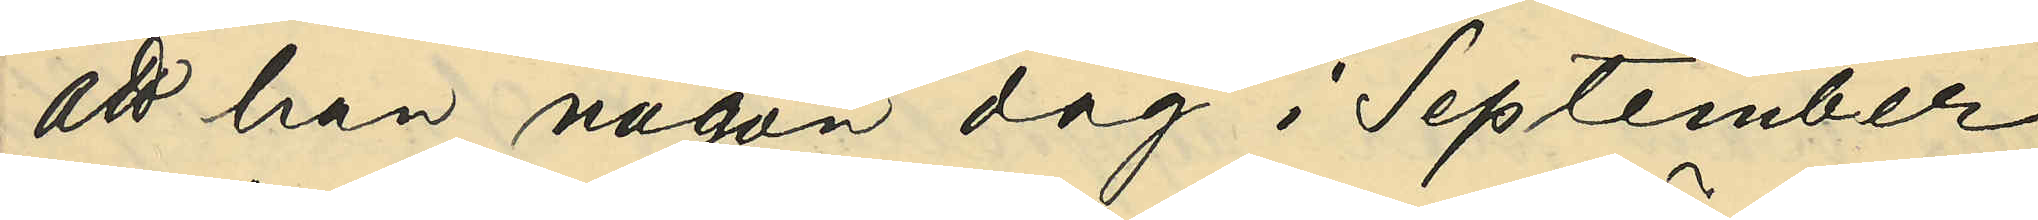att han någon dag i September
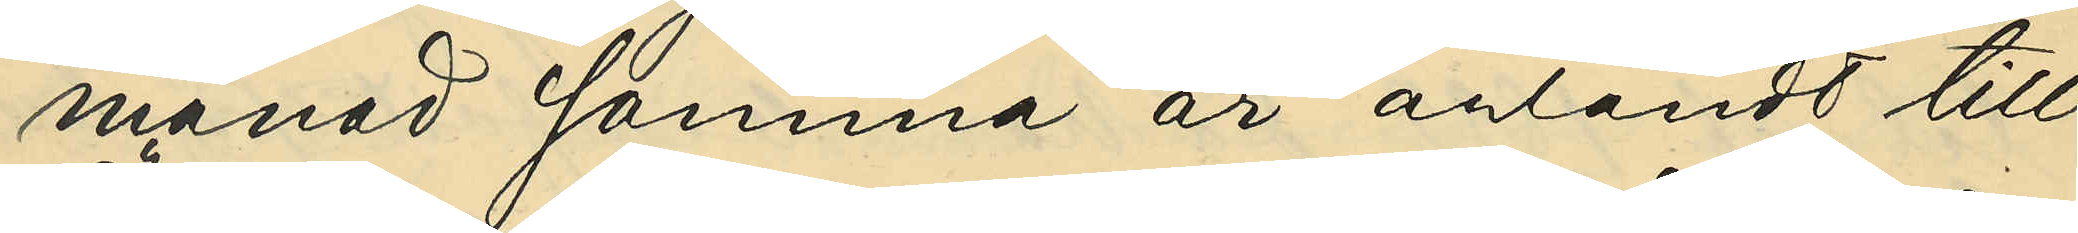månd samma år anländt till
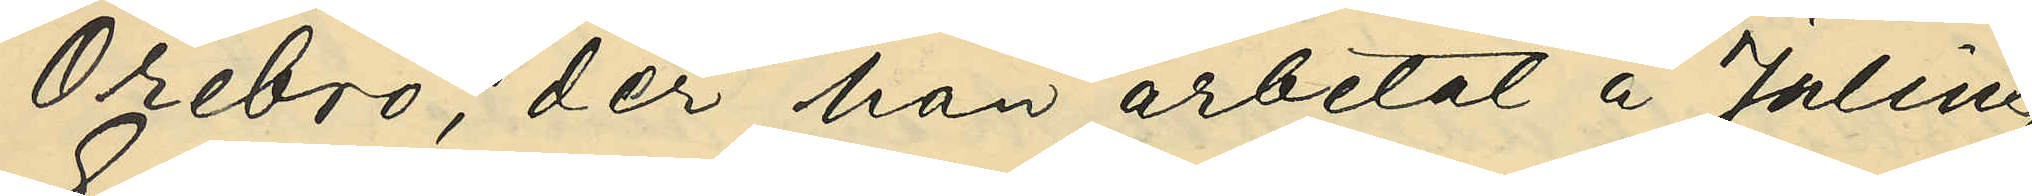Örebro, der han arbetat å Julius
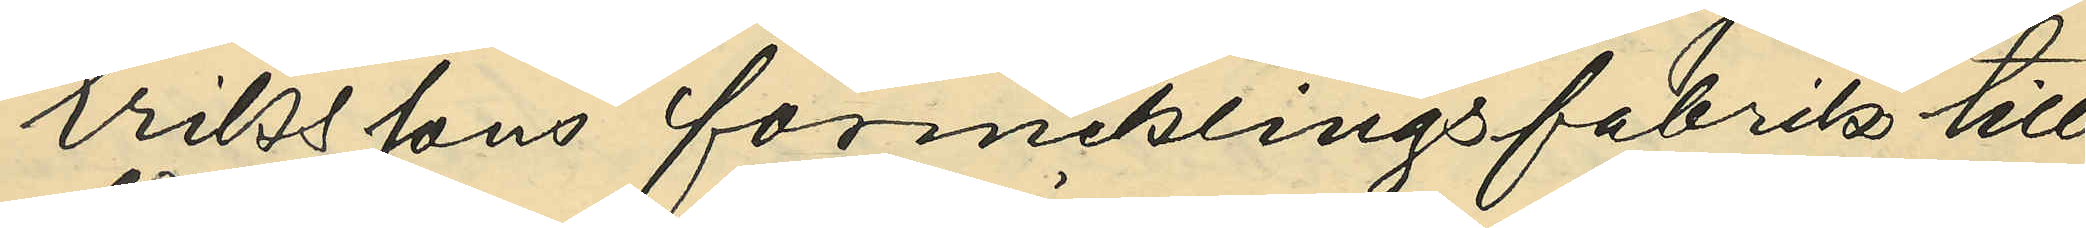Erikssons förnicklingsfabrik till
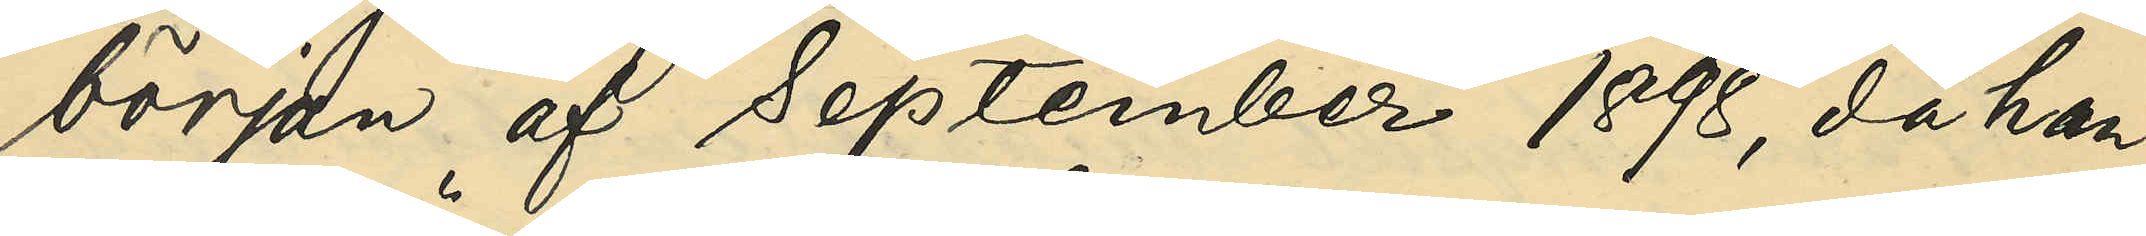början af September 1898, då han
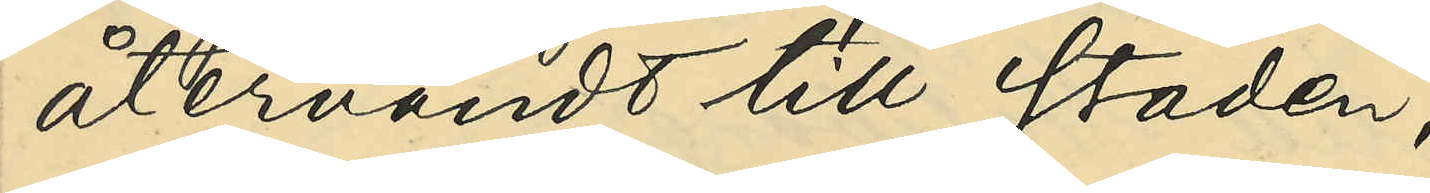återvändt till staden;
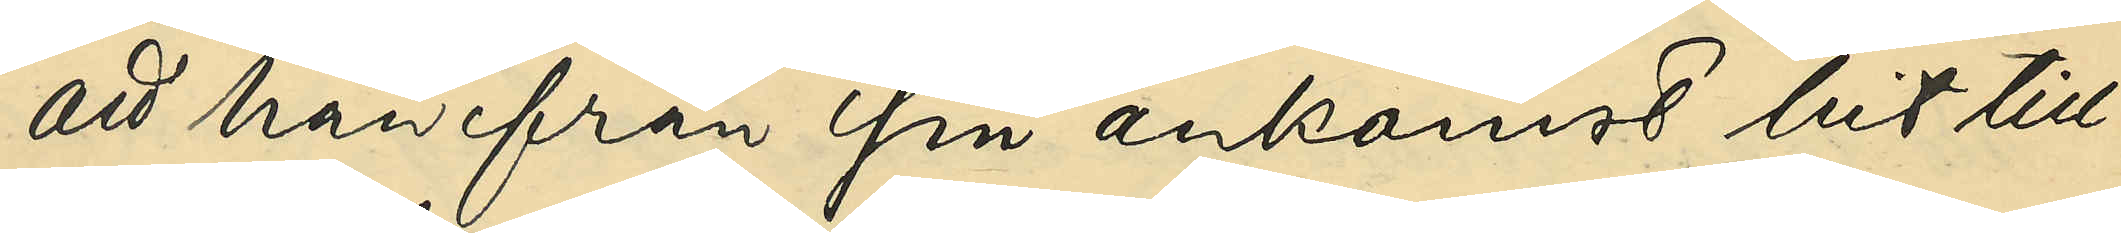att han från sin ankomst hit till
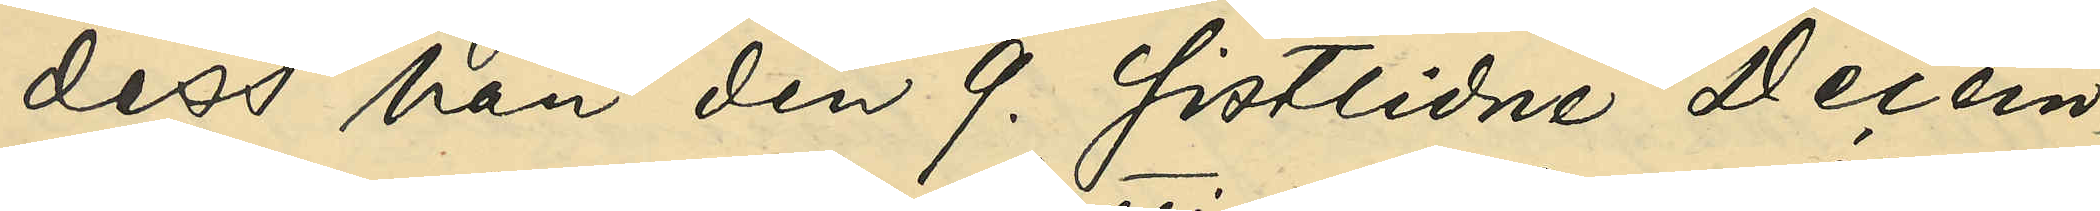dess han den 9. sistlidne Decem¬
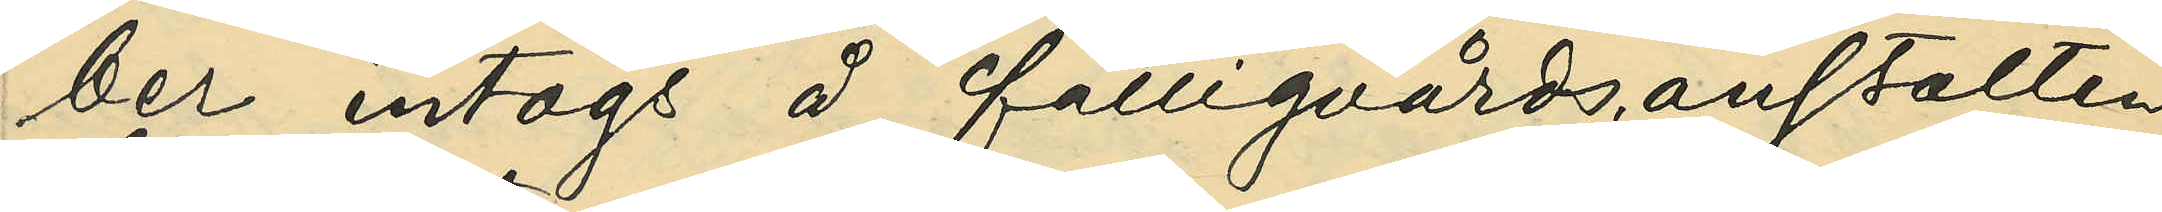ber intogs å fattigvårdsanstalten
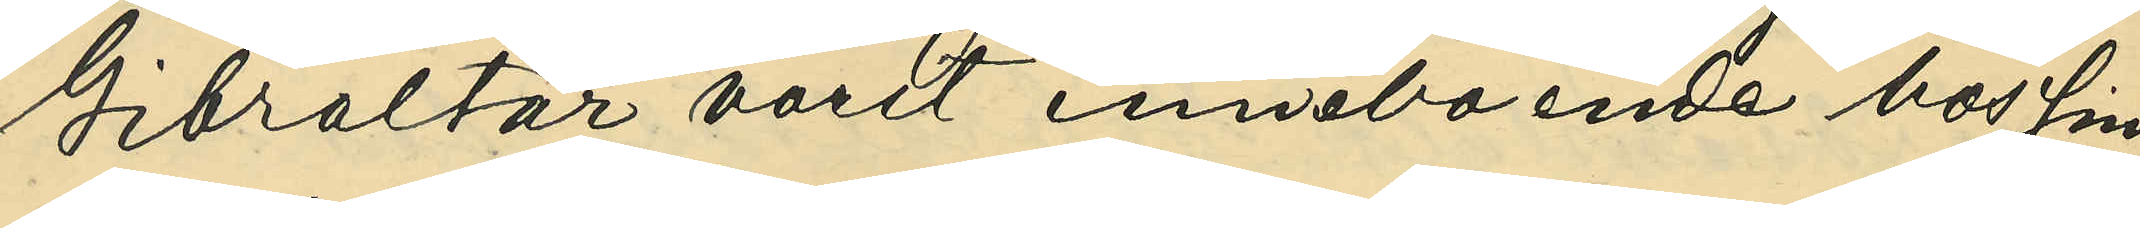Gibraltar varit inneboende hos sin
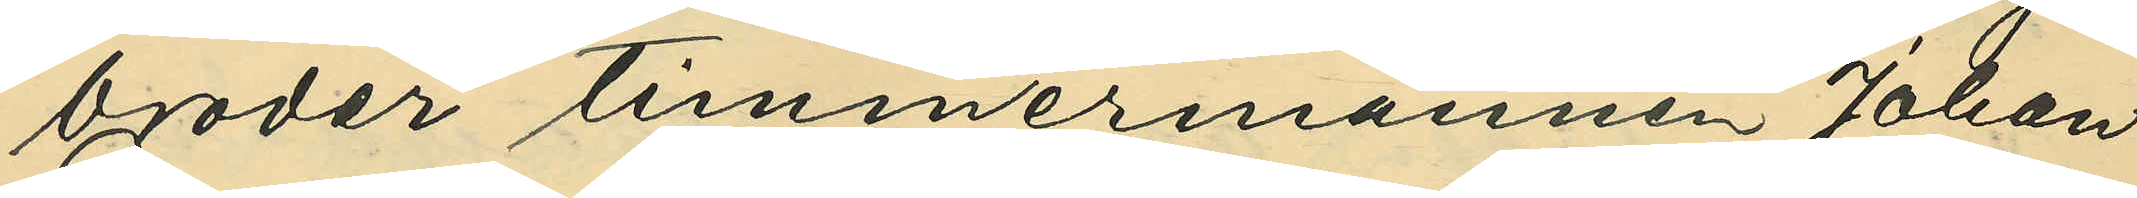broder timmermannen Johan
